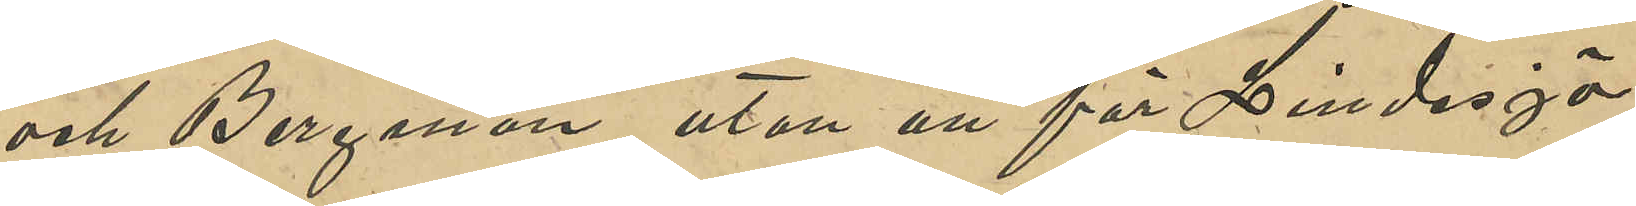och Bergman, utan att för Lindesjö
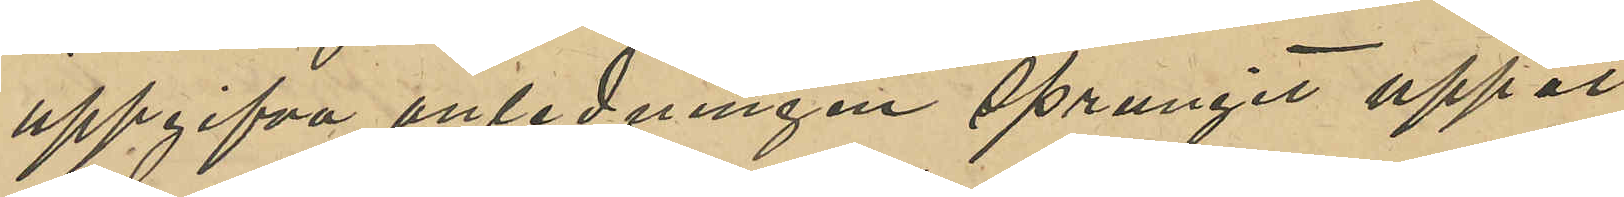uppgifva anledningen sprungit uppåt
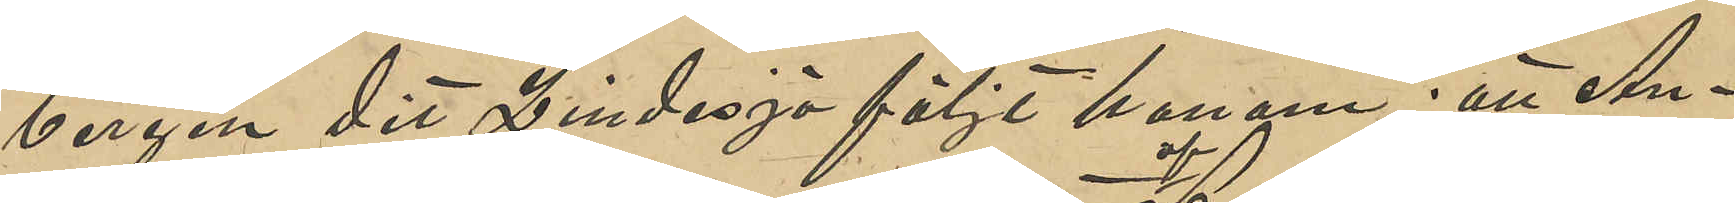bergen dit Lindesjö följt honom; att An¬
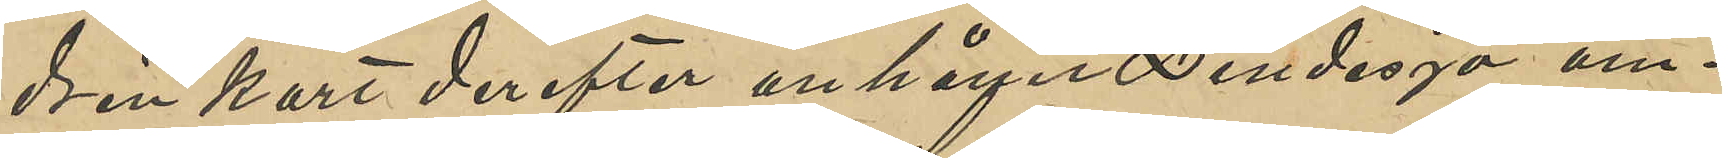drén kort derefter anhållit Lindesjö om¬
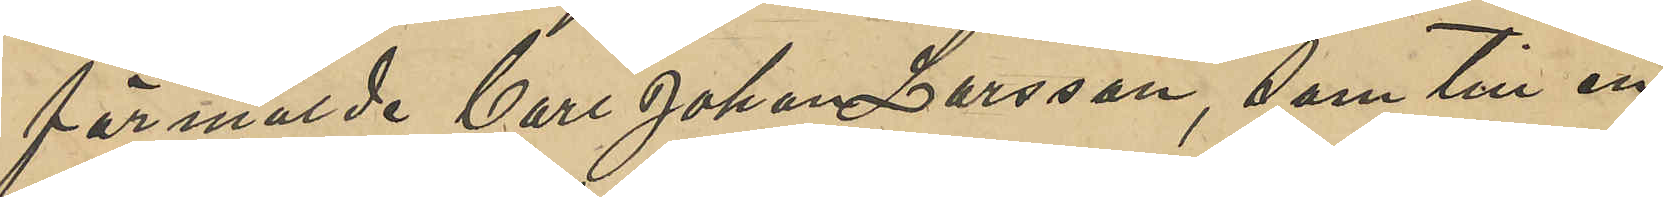förmälde Carl Johan Larsson, som till en
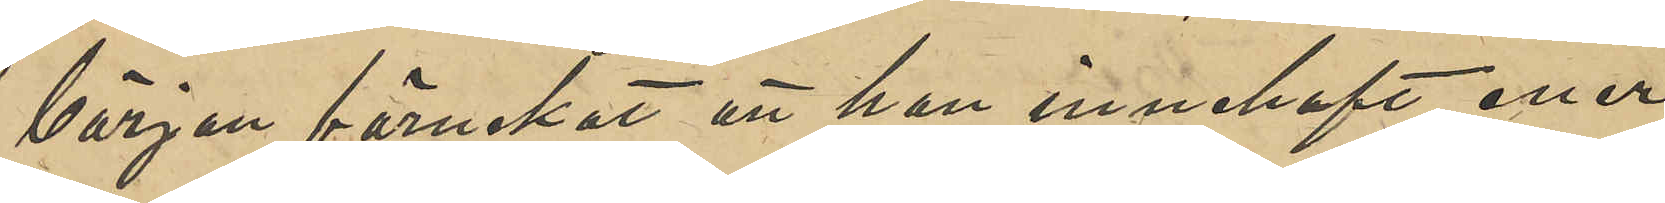början förnekat att han innehaft eller
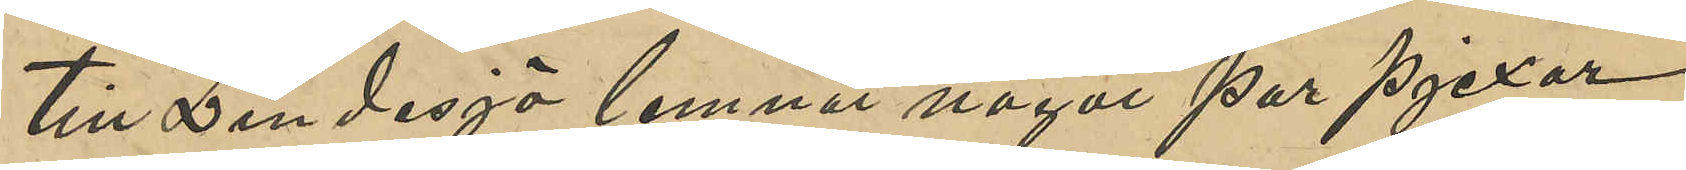till Lindesjö lemnat något par pjexor
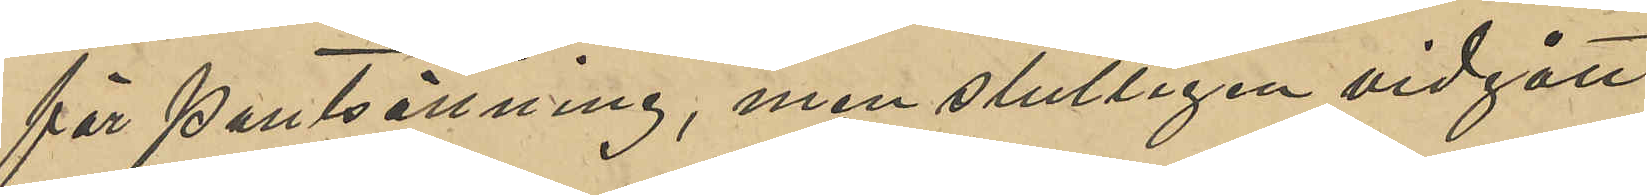för pantsättning, men slutligen vidgått
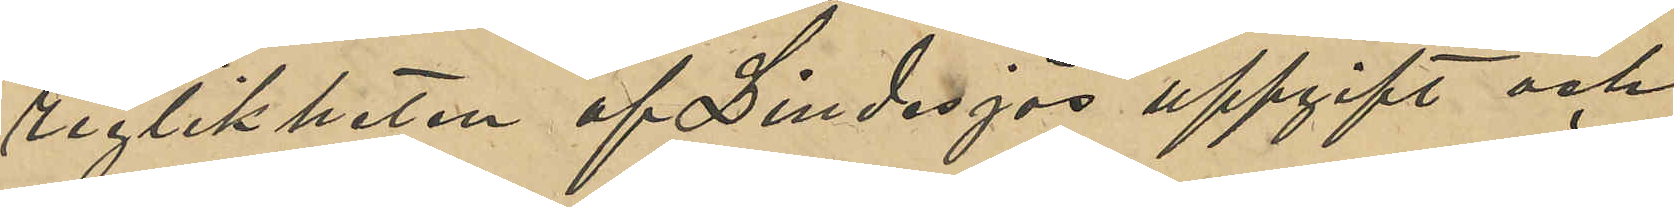rigtikheten af Lindesjös uppgift och
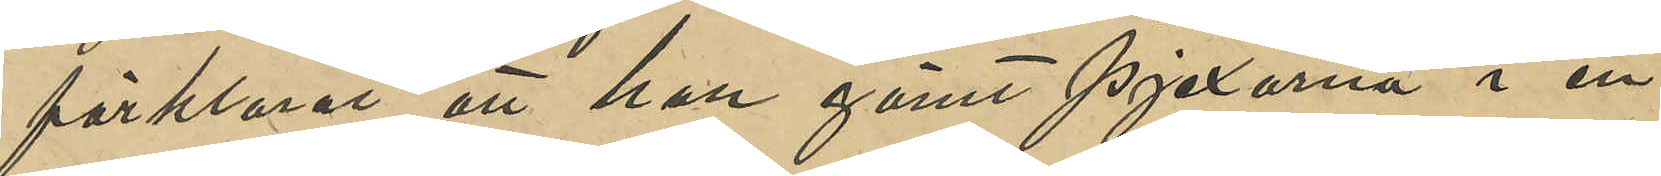förklarat att han gömt pjexorna i en
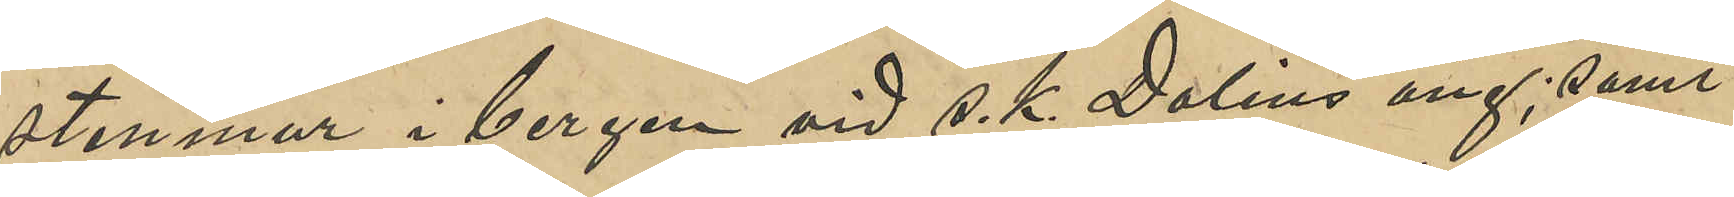stenmur i bergen vid s. k. Dalins äng; samt
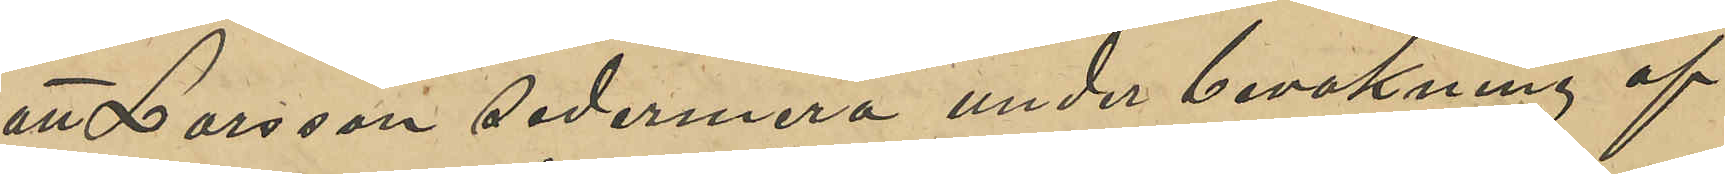att Larsson sedermera under bevakning af
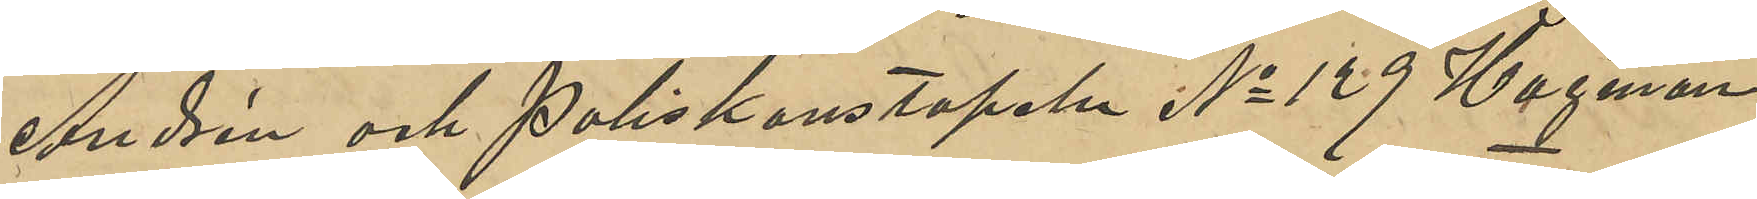Andrén och Poliskonstapeln No 129 Hagman
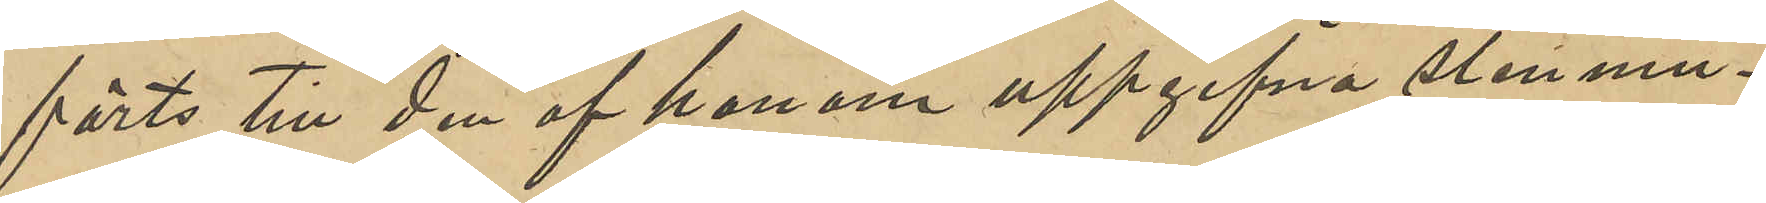förts till den af honom uppgifna stenmu¬
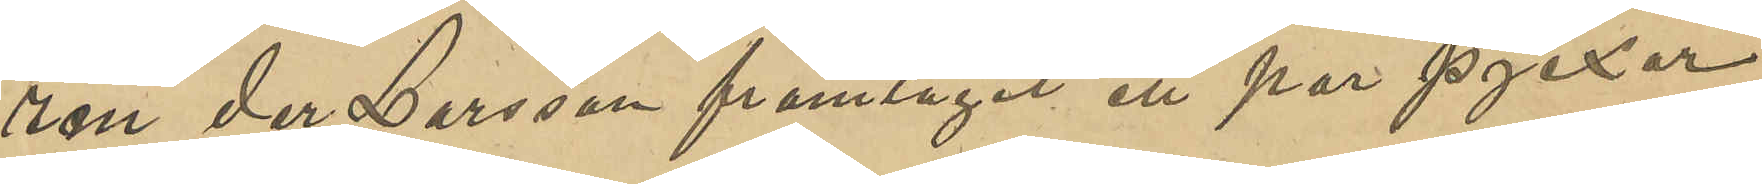ren der Larsson framtagit ett par pjexor
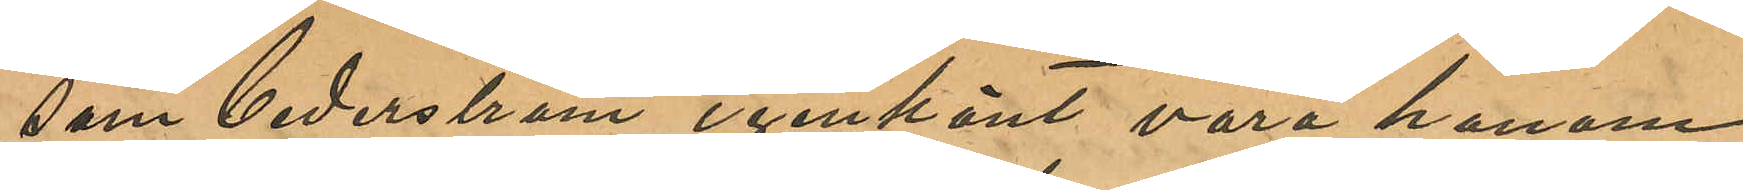som Cederström igenkänt vara honom 
